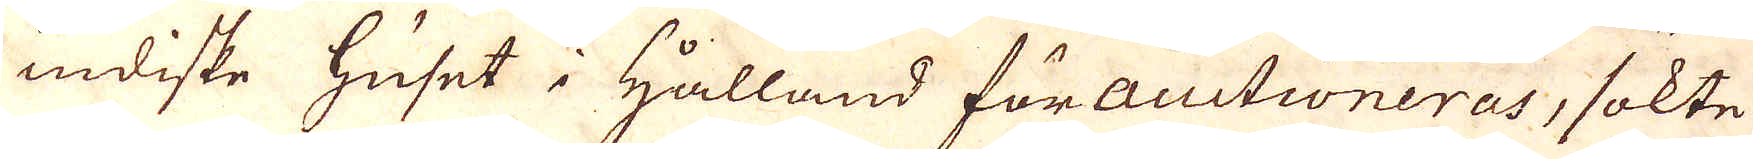indiske huset i hålland för auctioneras, sökte
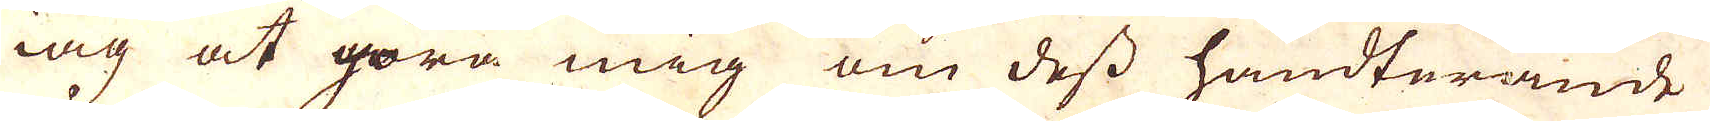iag at göra mig om dess handterande
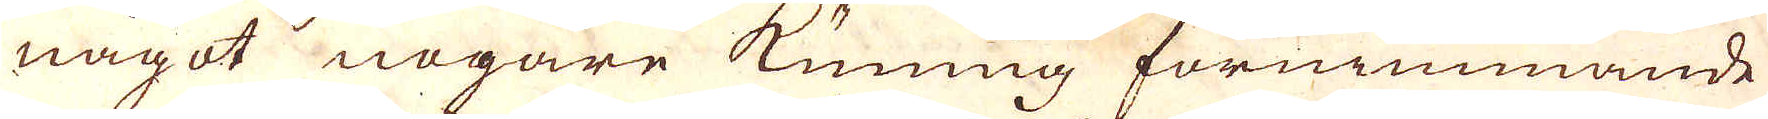något nogare kunnig förnimmande
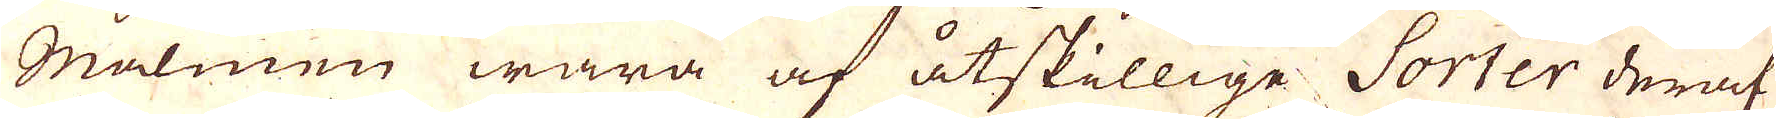Malmen wara af åtskillige Sorter deraf
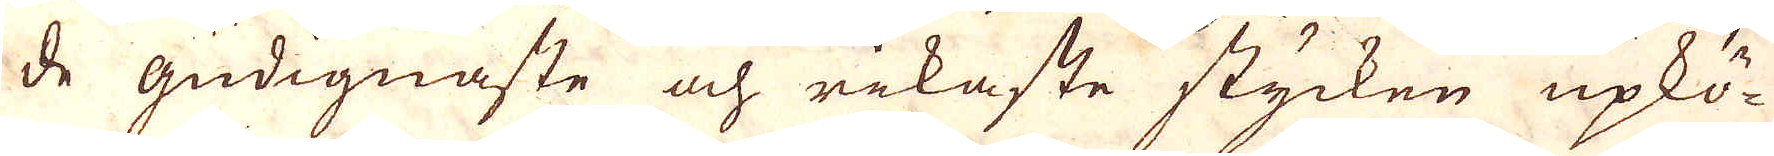de gudignaste och rikaste stycken upkö-
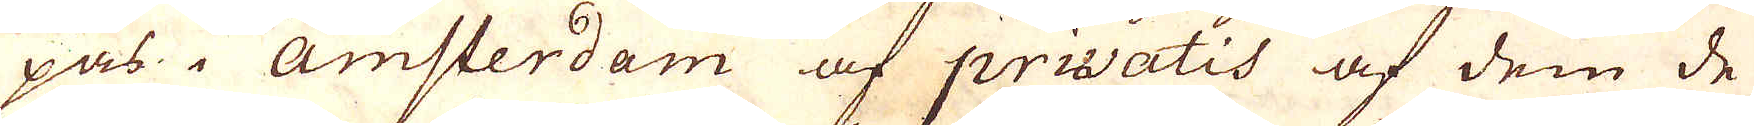pas i Amsterdam af privatis af dem de
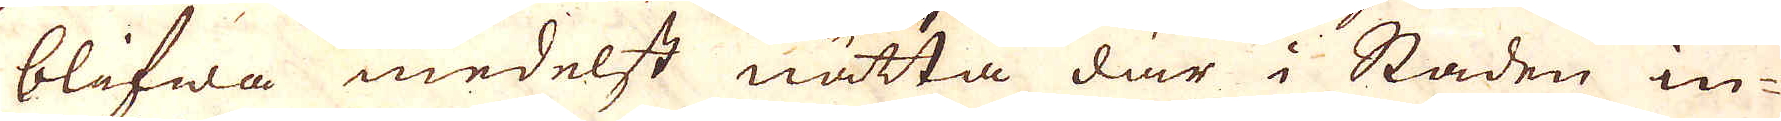blifwa medelst nätta där i Staden in-
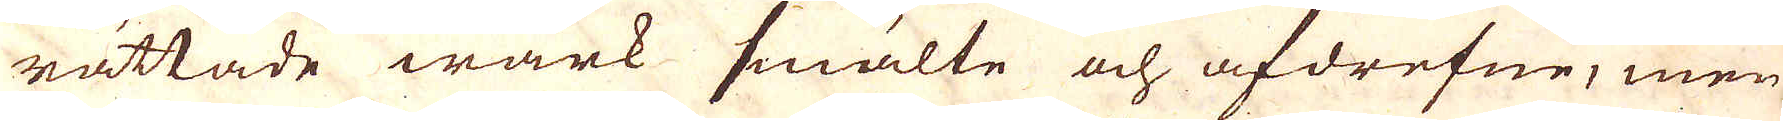rättade wärk smälte och afdrefne; men
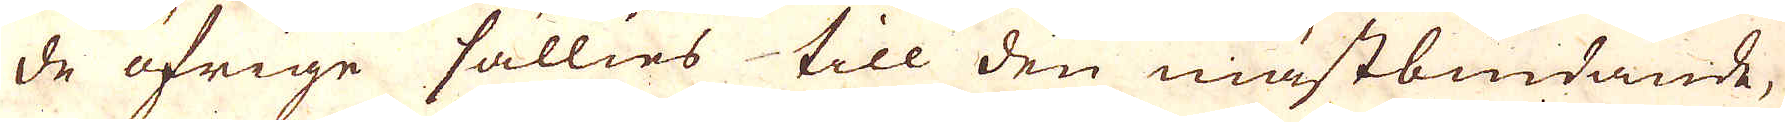de öfrige sällies till den mästbiudande,
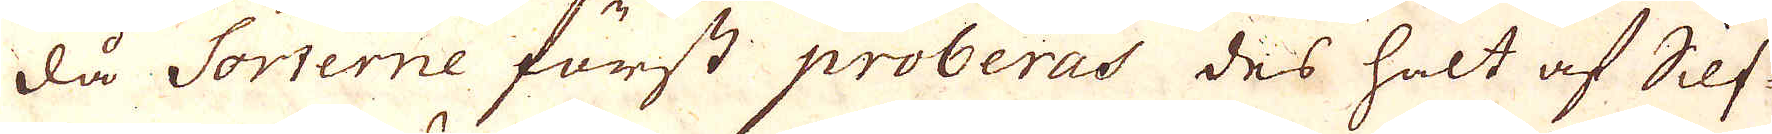då Sorterne först proberas des halt af Silf-
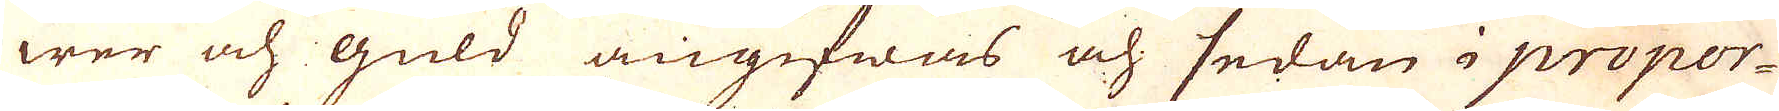wer och guld angifwas och sedan i propor-
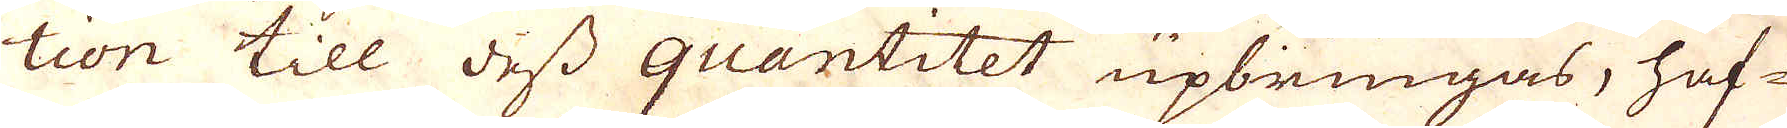tion till dess quantitet upbringas, haf-
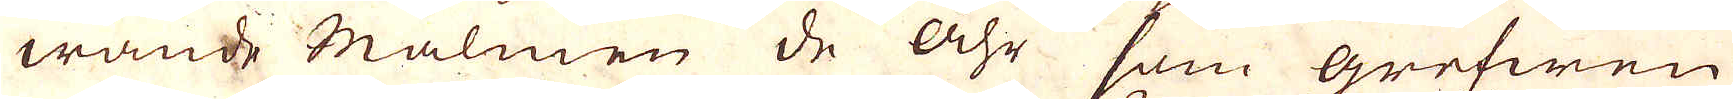wande Malmen de åhr som grefwen
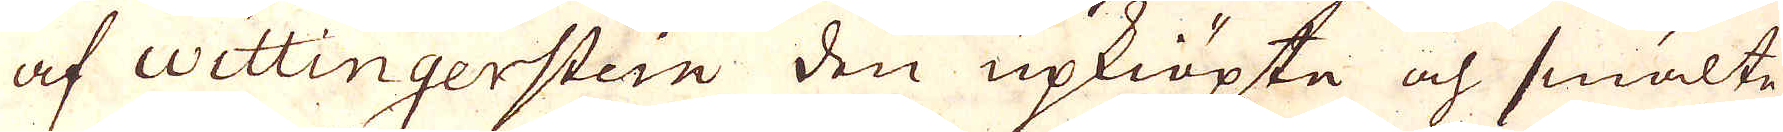af Wettingerstein den upkiöpte och smälte
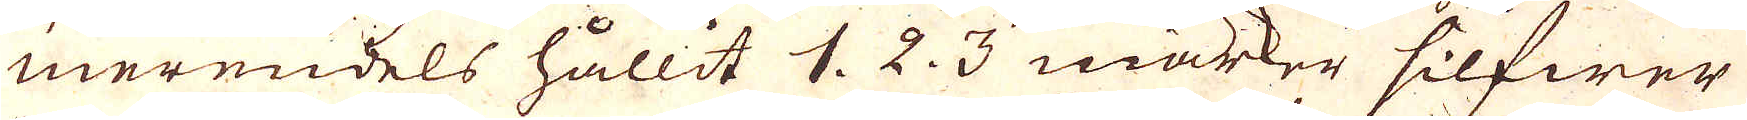merendels hållit 1. 2. 3 marker silfwer
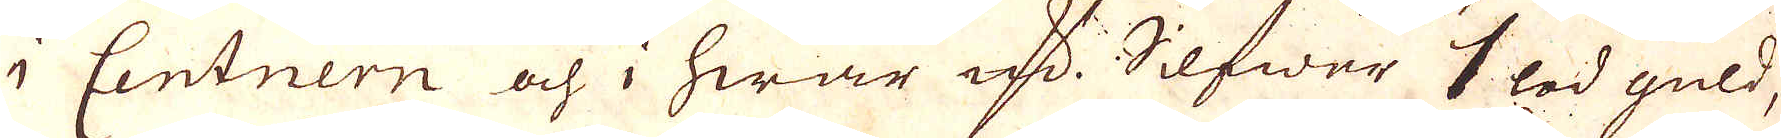i Centnern och, hwar qv:n Silfwer 1 lod guld,
